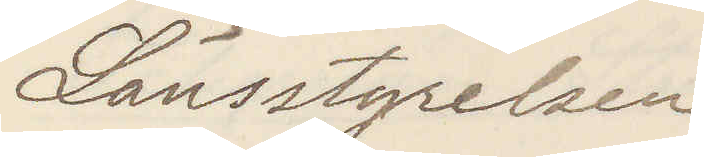Länsstyrelsen
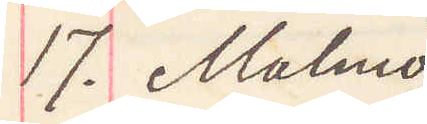17. Malmö
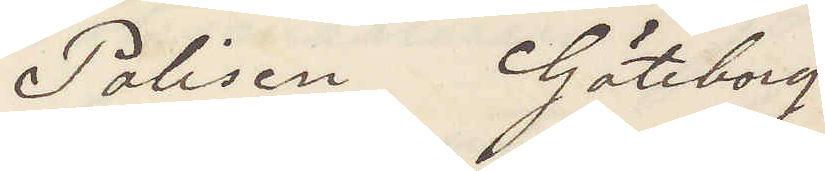Polisen Göteborg
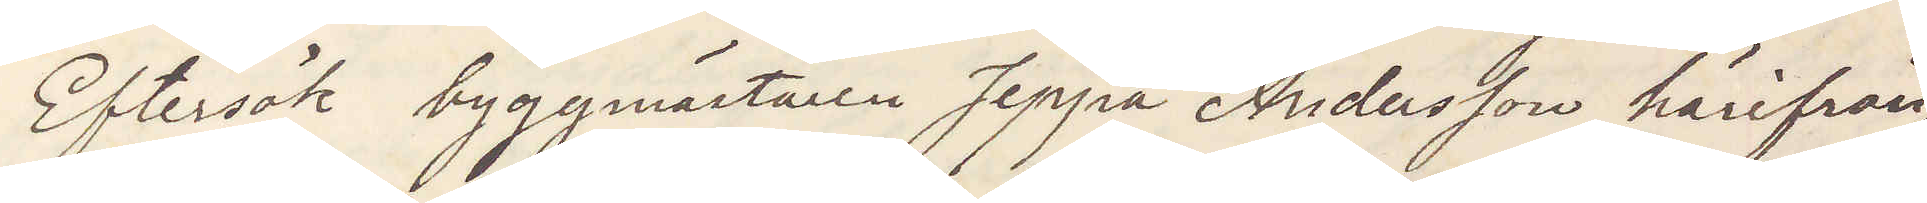Eftersök byggmästaren Jeppa Andersson härifrån,
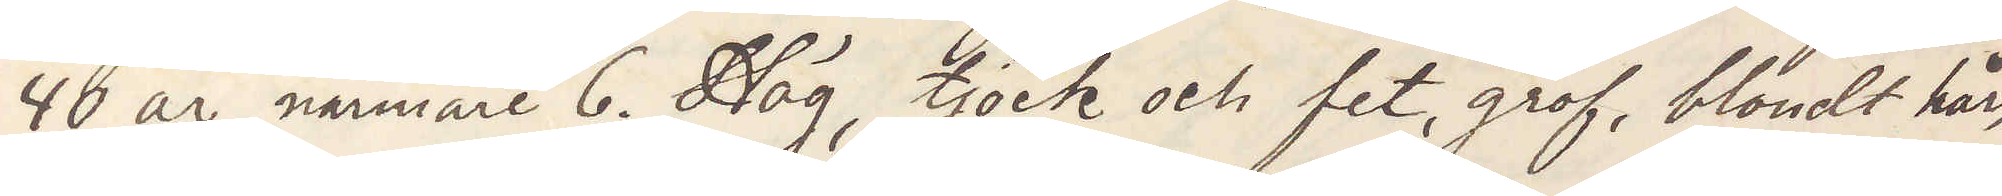40 år, närmare 6. Hög, tjock och fet, grof, blondt hår,
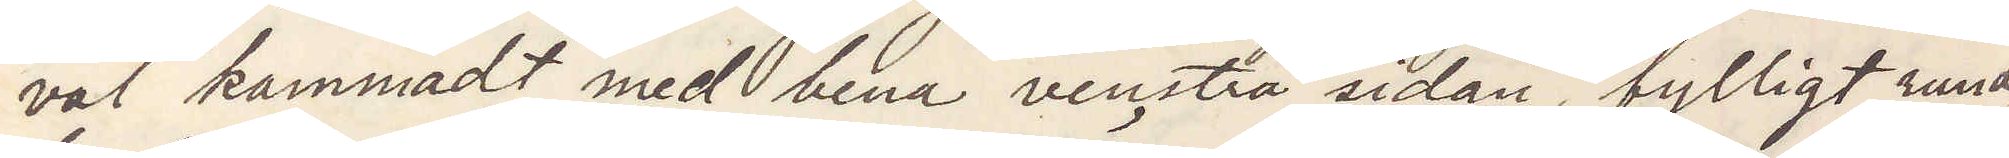väl kammadt med bena venstra sidan, fylligt rund¬
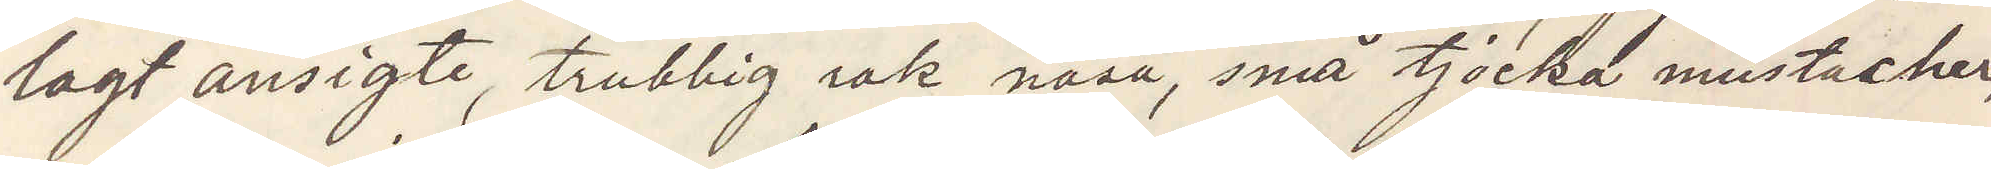lagt ansigte, trubbig rak näsa, små tjocka mustascher,
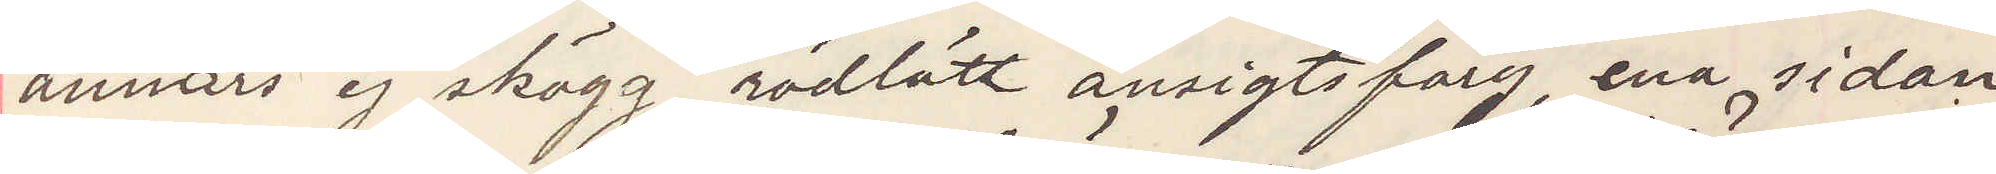annars ej skägg, rödlätt ansigtsfärg, ena sidan
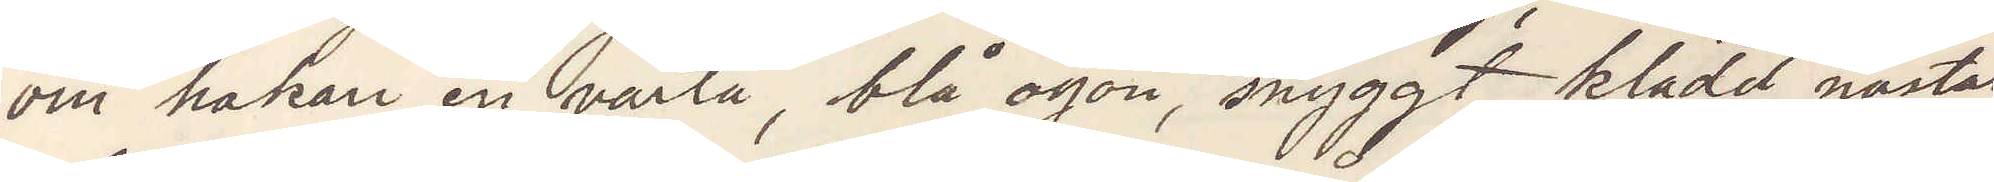om hakan en vårta, blå ögon snyggt klädd nästan
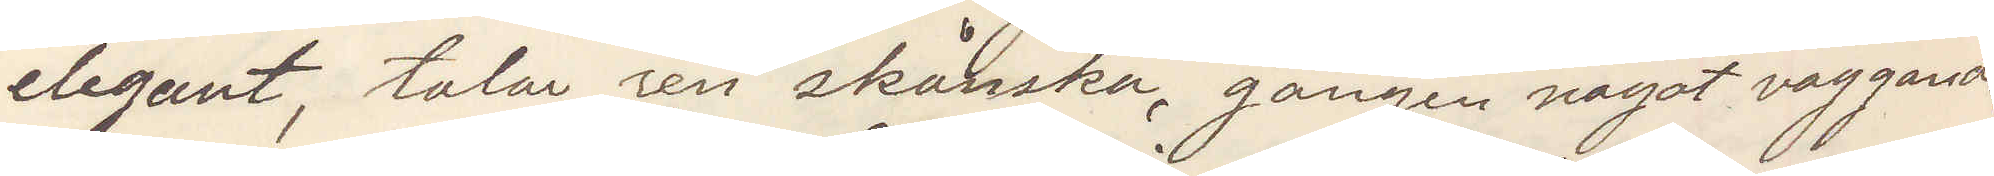elegant, talar ren skånska, gången något vaggande
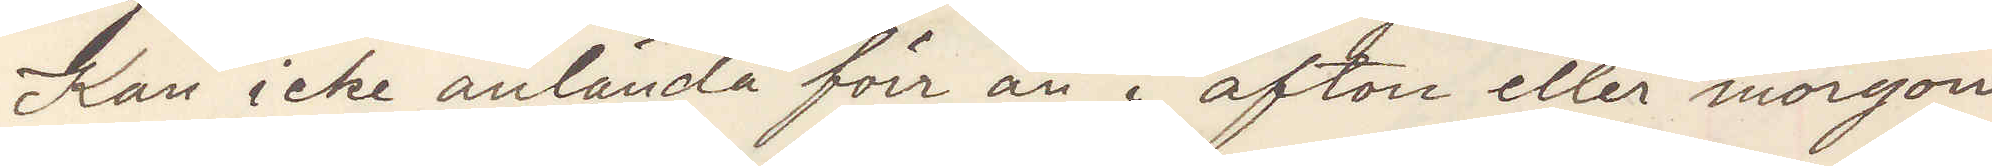Kan icke anlända för än i afton eller morgon.
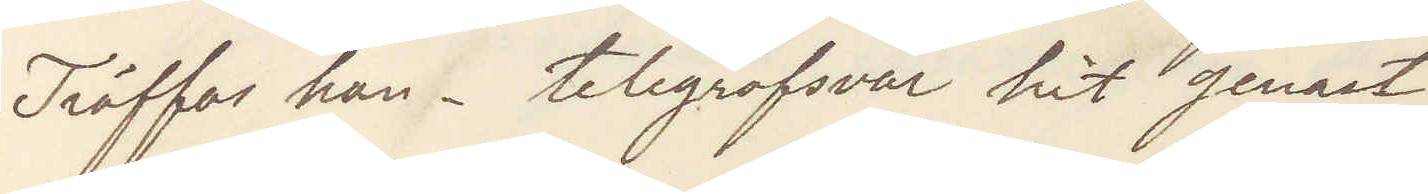Träffas han telegrafsvar hit genast
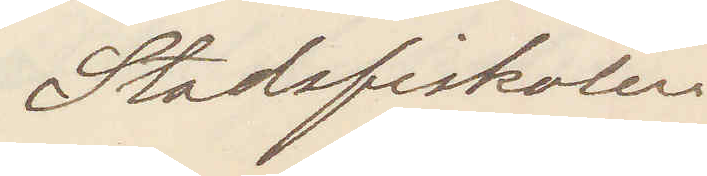Stadsfiskalen
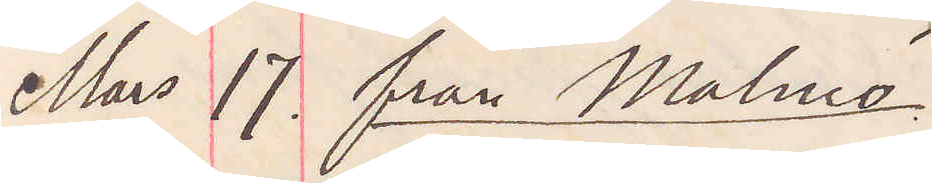Mars 17. från Malmö
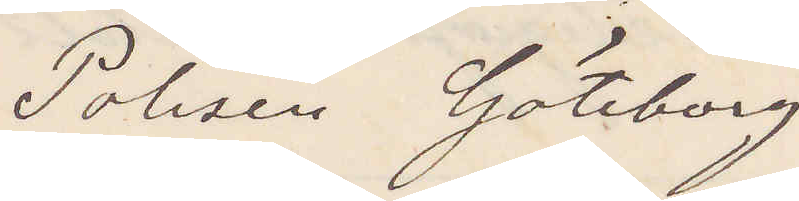Polisen Göteborg
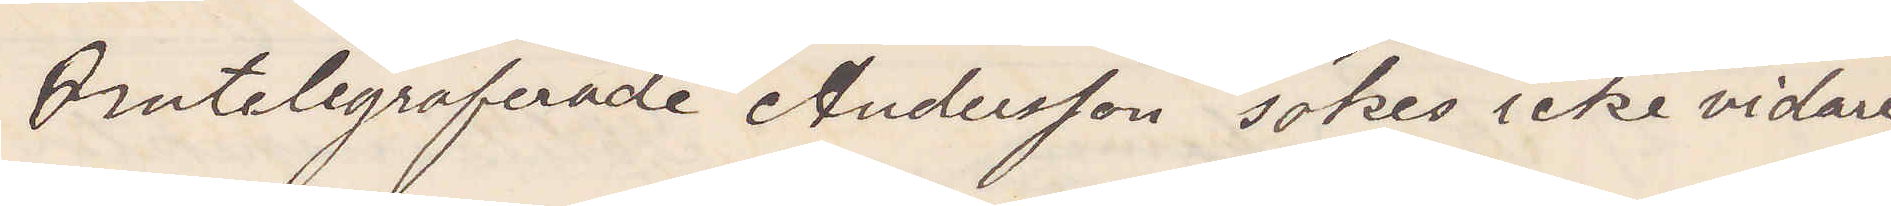Omtelegraferade Andersson sökes icke vidare
